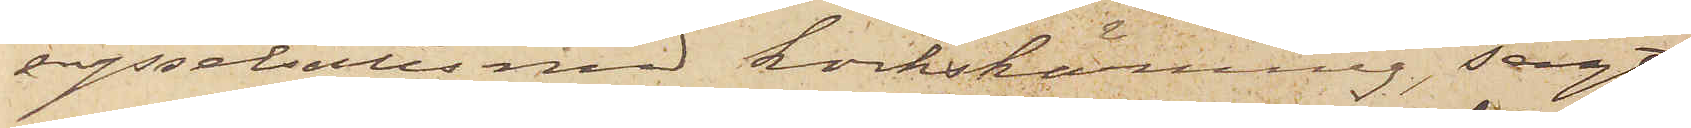sysselsatts med korkskärning, sagt
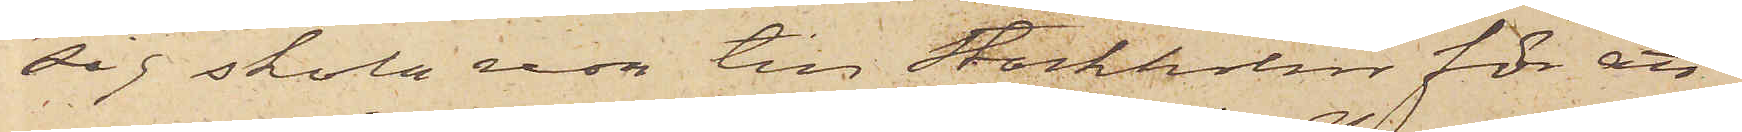sig skola resa till Stockholm för att
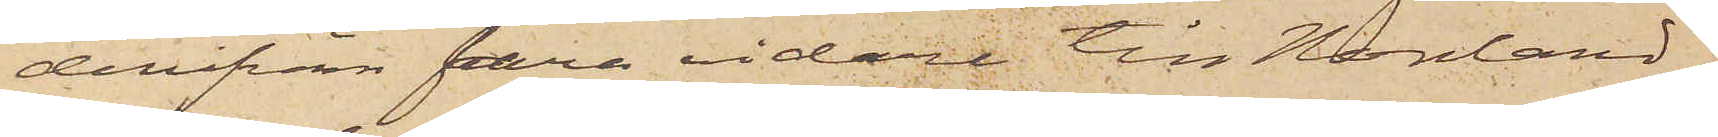derifrån fara vidare till Norrland.
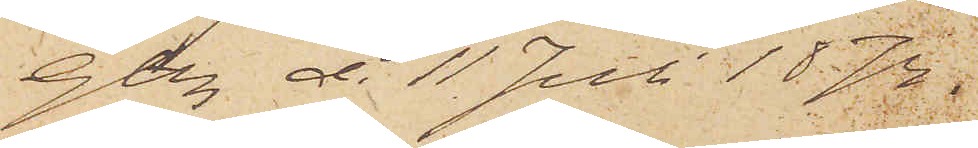Gtbg d. 11 Juli 1874.
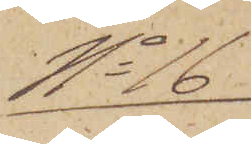No 16
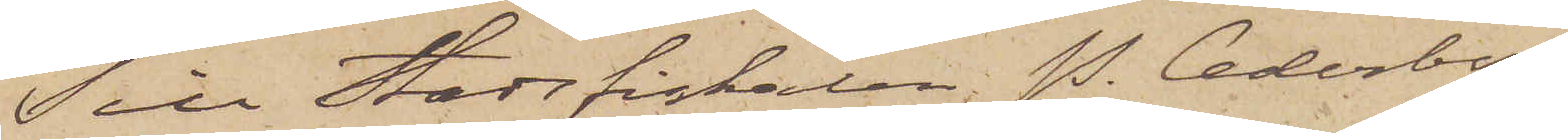Till Stadsfiskalen P. Cederborg
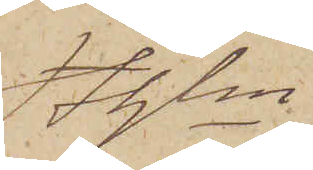Sthlm
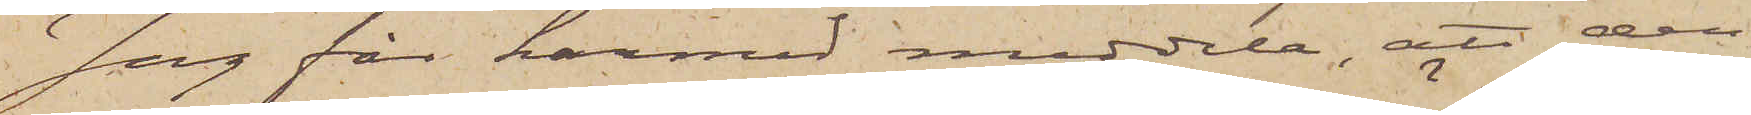Jag får härmed meddela, att den
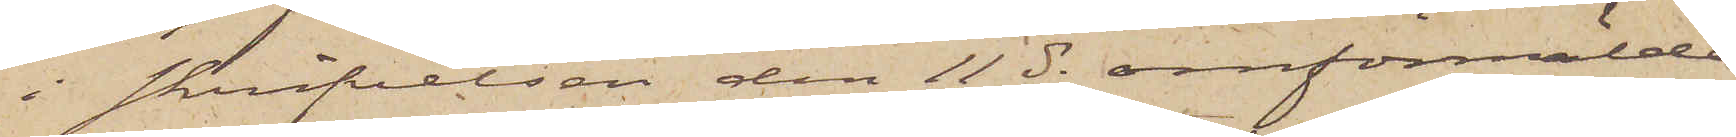i skrifvelsen den 11 ds omförmälde
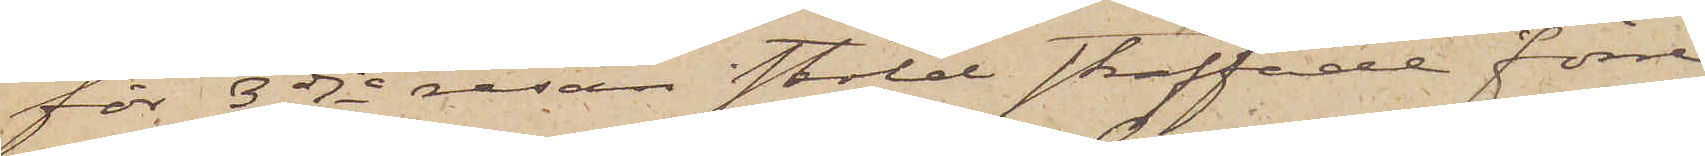för 3dje resan stöld straffade förre
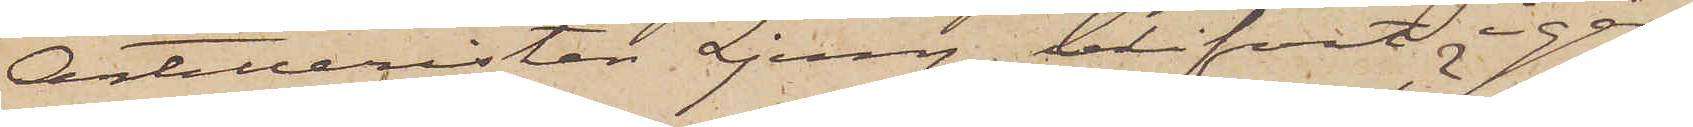Artilleristen Ljung blifvit i går
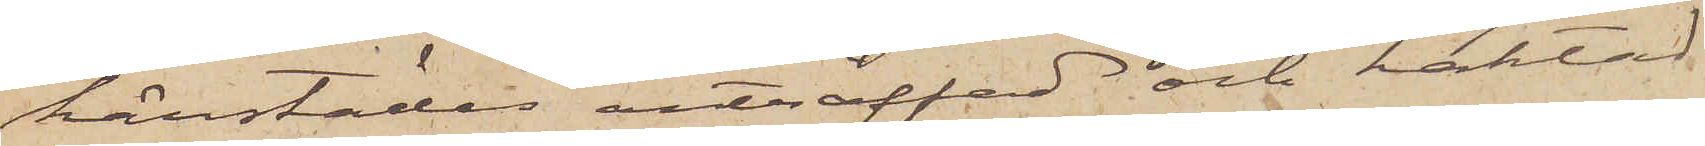härstädes anträffad och häktad.
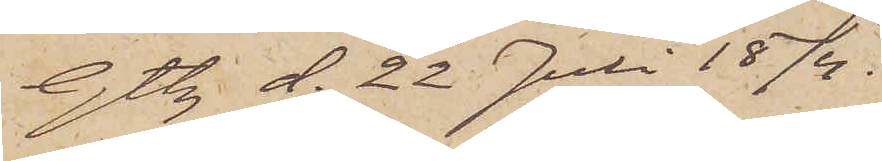Gtbg d. 22 Juli 1874.
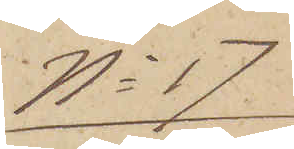No 17
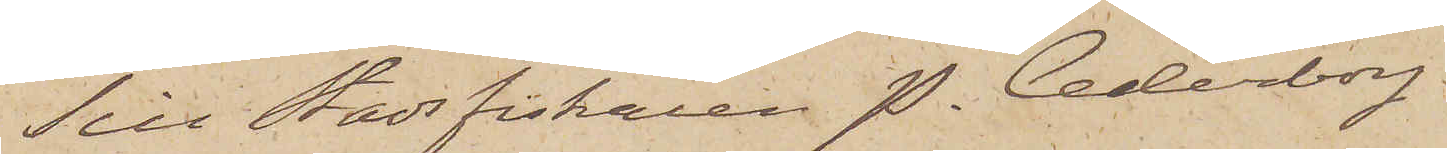Till Stadsfiskaren P. Cederborg,
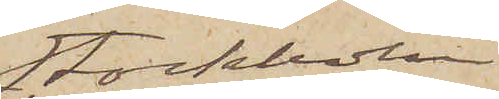Stockholm
